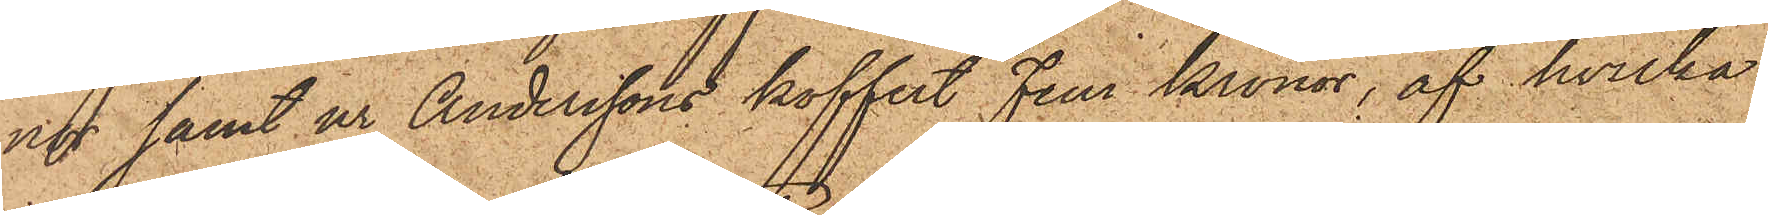nor samt ur Anderssons koffert Fem Kronor, af hvilka
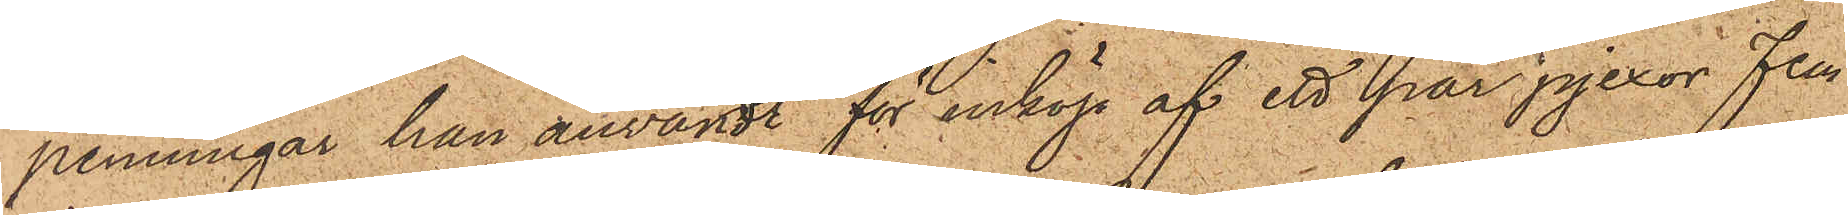penningar han användt för inköp af ett par pjexor Fem
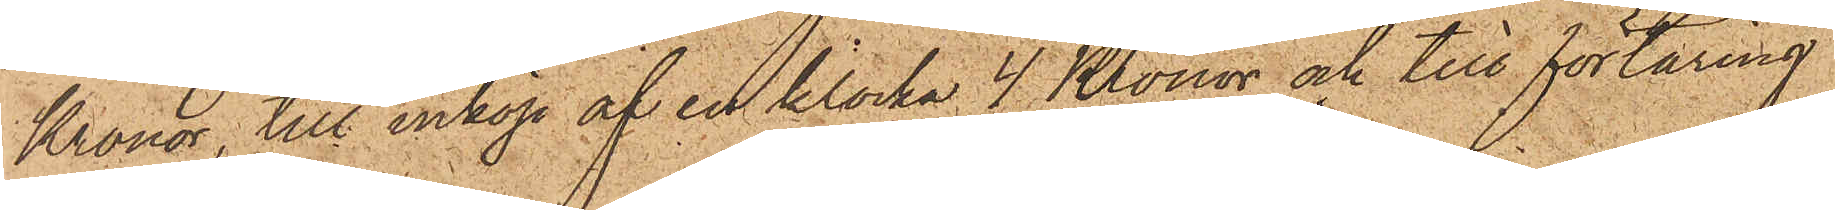Kronor, till inköp af en klocka 4 Kronor och till förtäring
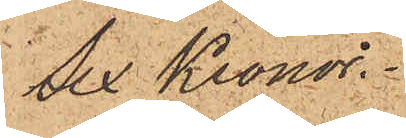Sex Kronor.
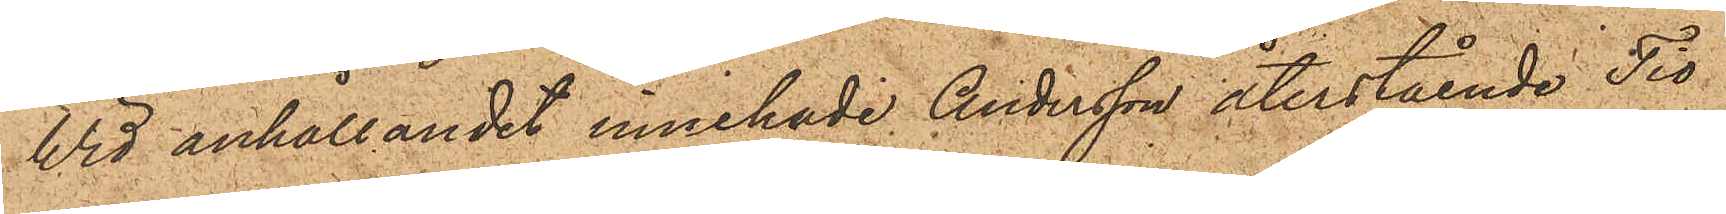Wid anhållandet innehade Andersson återstående Tio
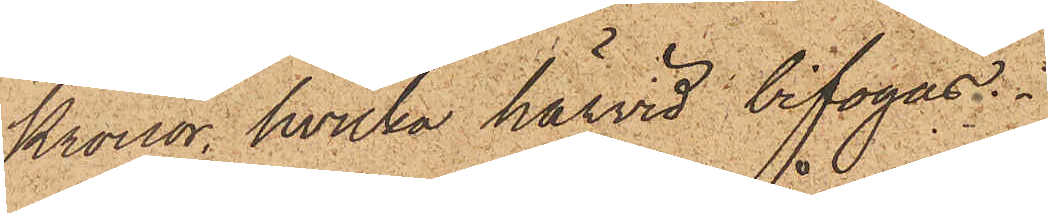Kronor, hvilka härvid bifogas.
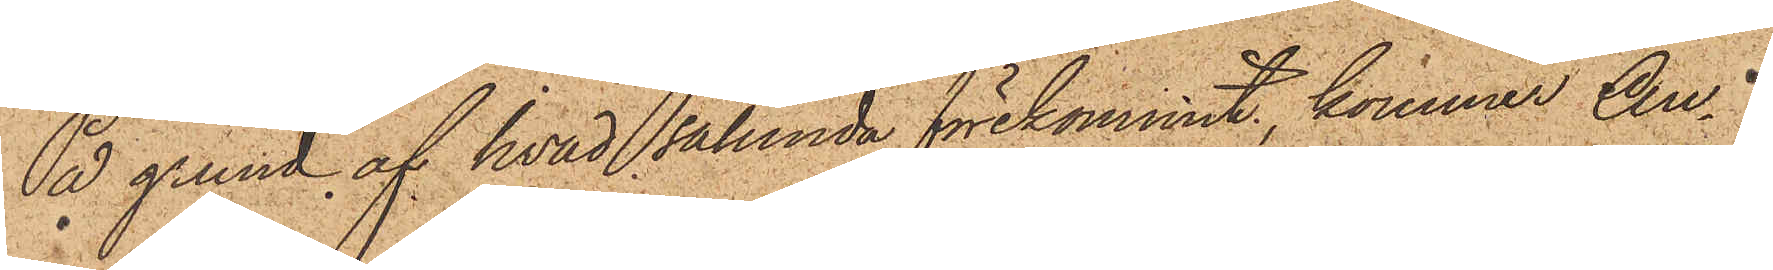På grund af hvad sålunda förekommit, kommer An¬
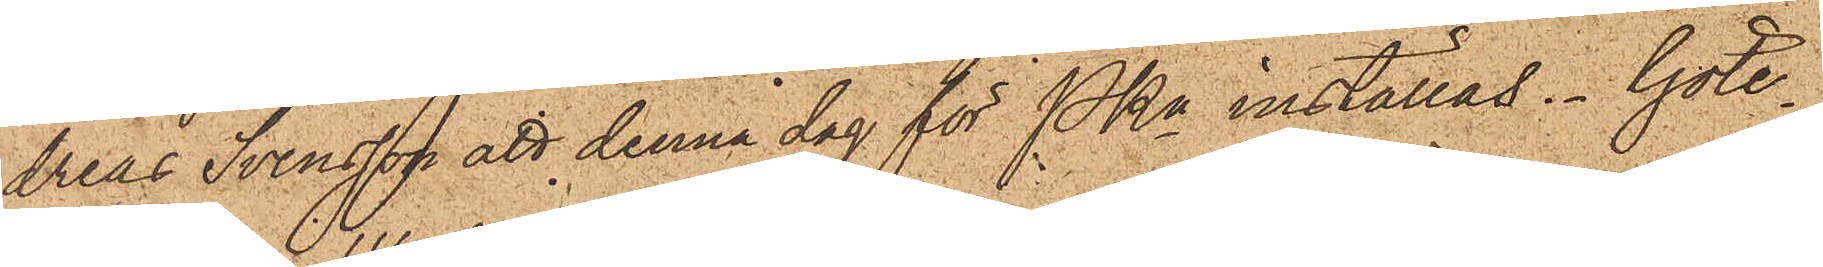dreas Svensson att denna dag för PKn inställas. Göte¬
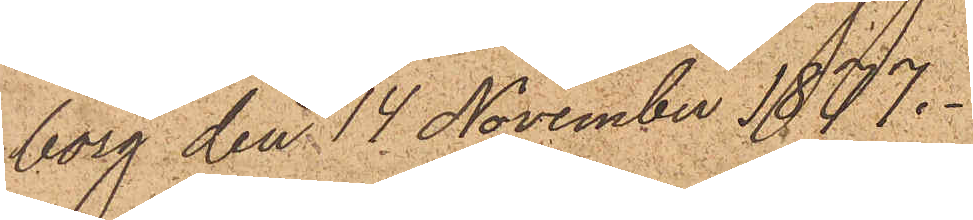borg den 14 November 1877.
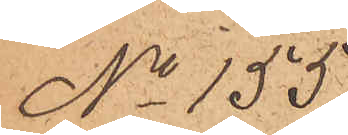No 155.
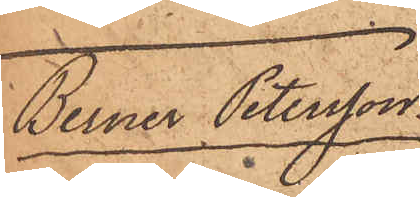Berner Peterson.
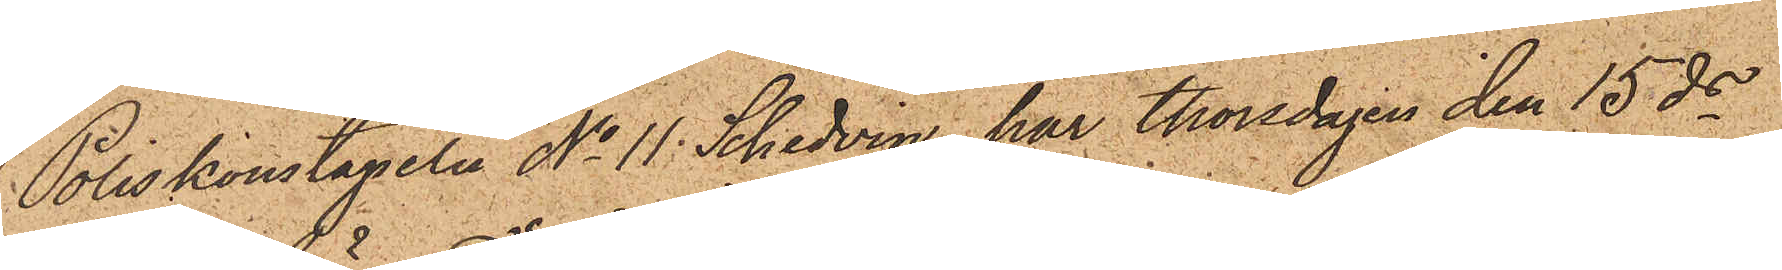Poliskonstapeln No 11 Schedvin har Thorsdagen den 15 ds
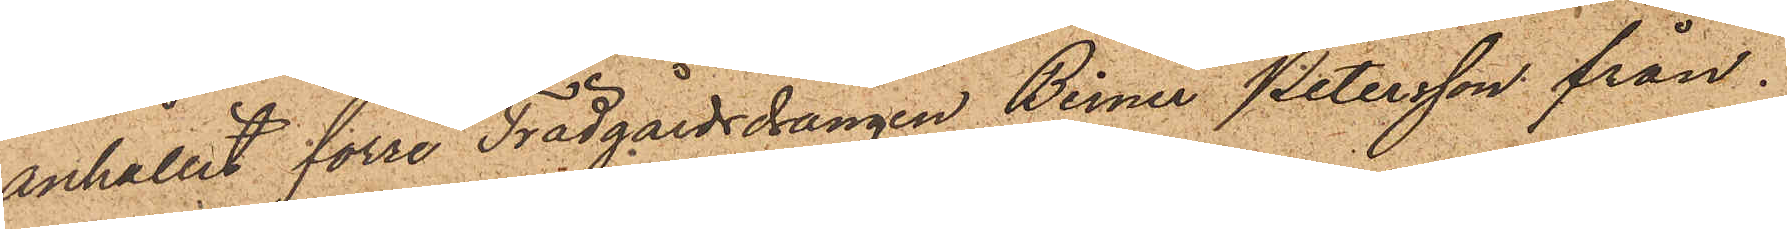anhållit förre Trädgårdsdrängen Berner Petersson från
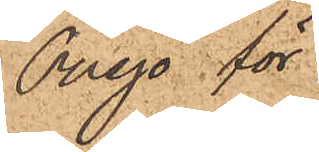Onsjö för
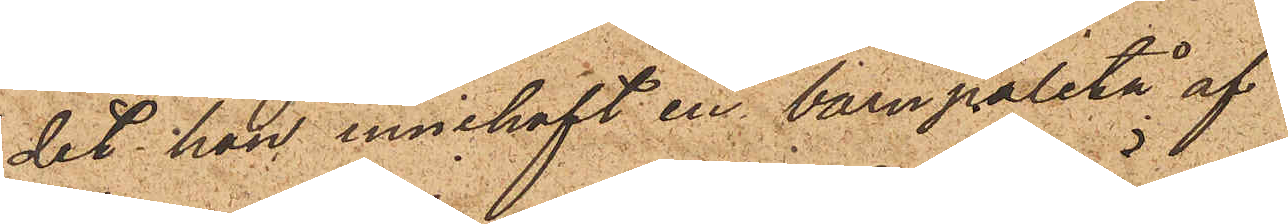det han innehaft en barnpaletå af
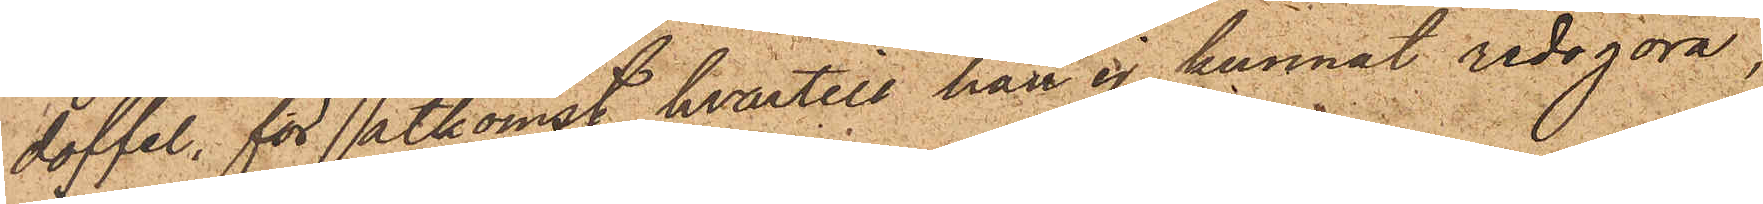doffel, för åtkomst hvartill han ej kunnat redogöra,
